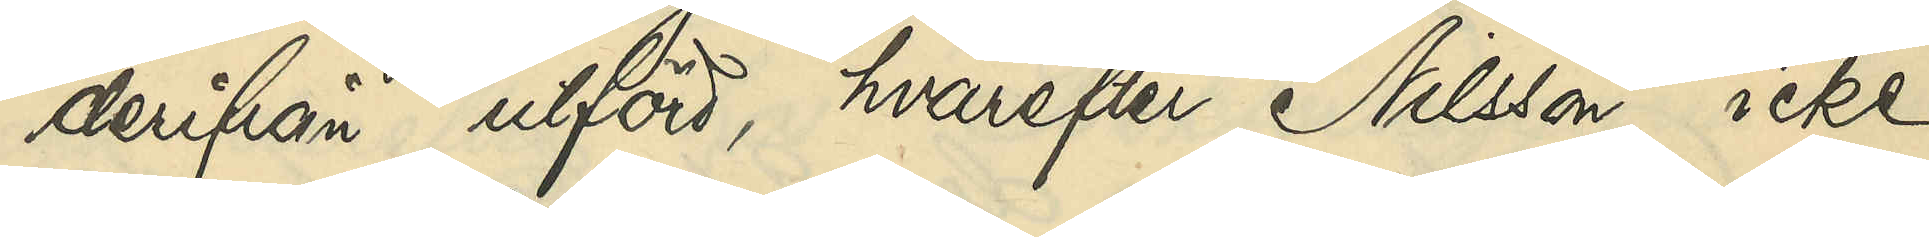derifrån afförd, hvarefter Nilsson icke
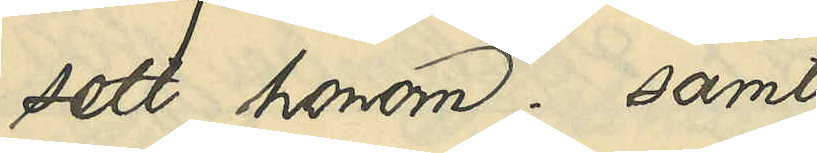sett honom; samt
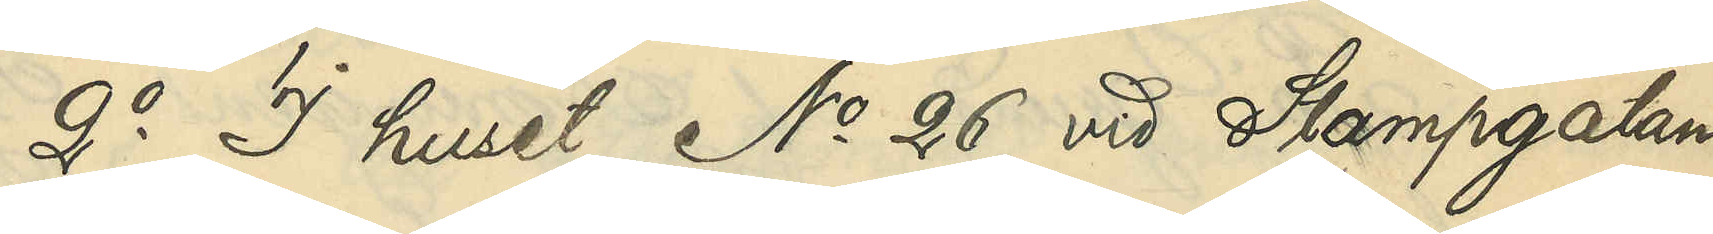2o I huset No 26 vid Stampgatan
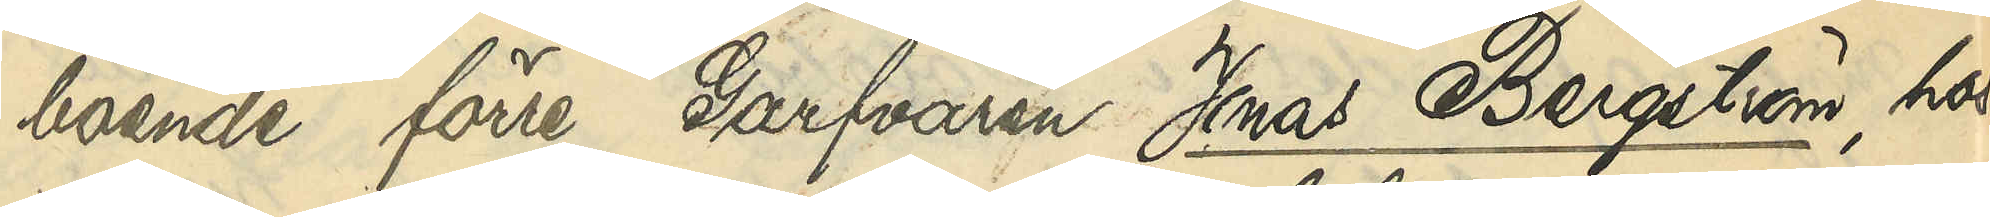boende förre Garfvaren Jonas Bergström, hos
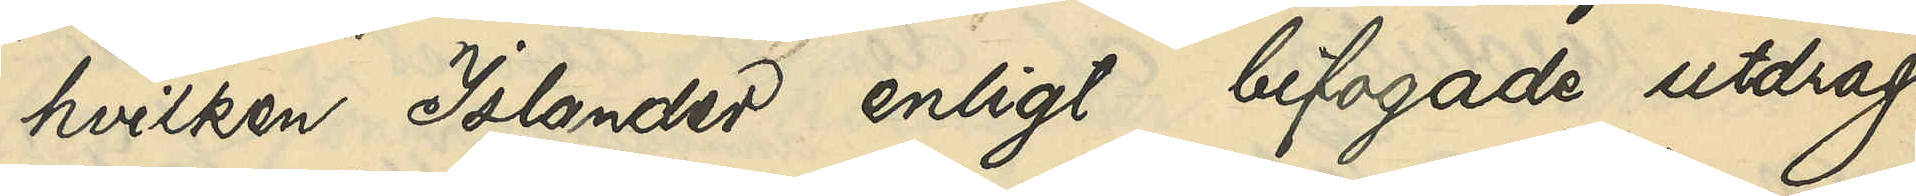hvilken Islander enligt bifogade utdrag
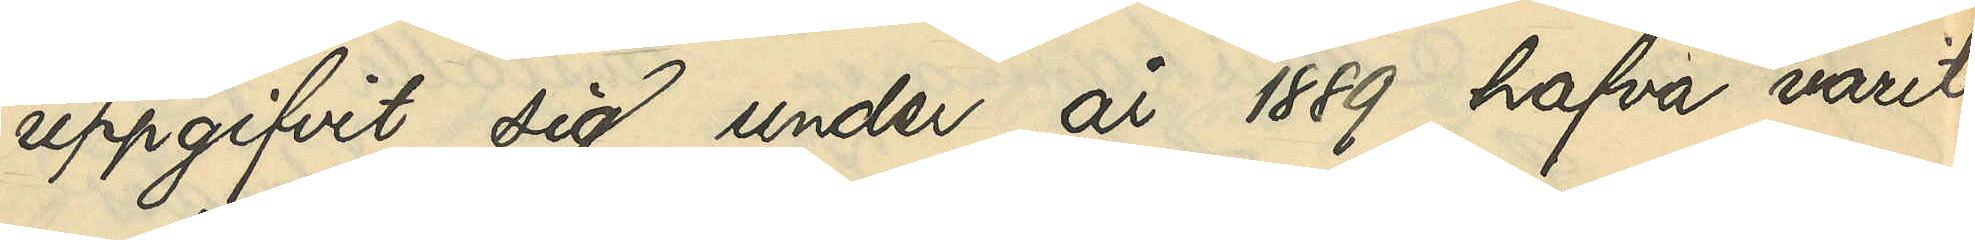uppgifvit sig under år 1889 hafva varit
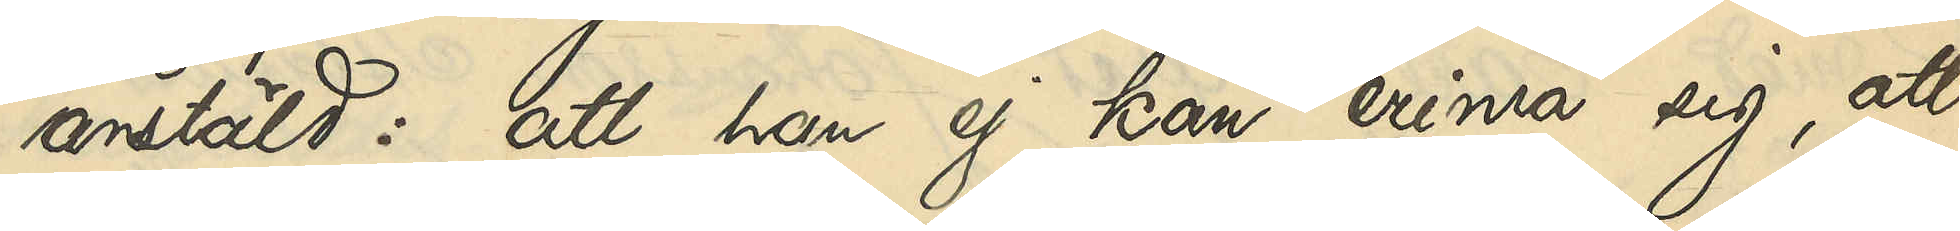anstäld: att han ej kan erinra sig, att
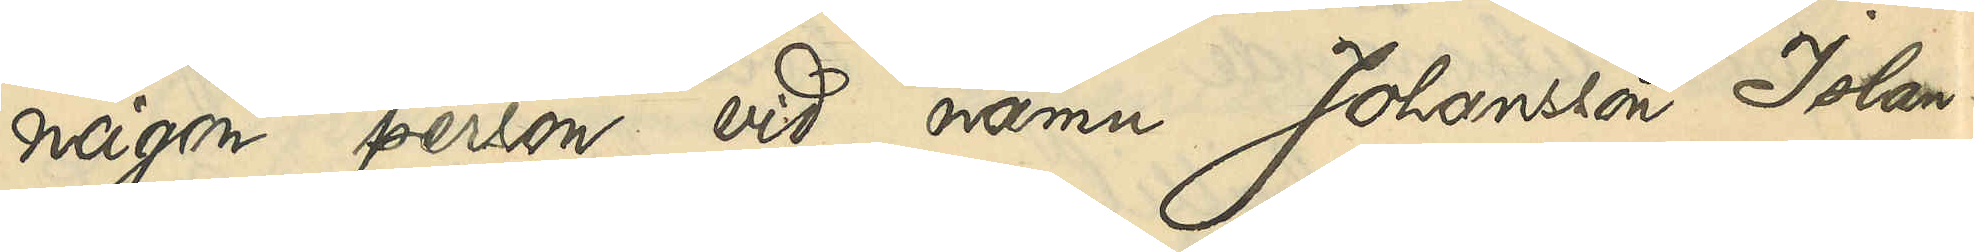någon person vid namn Johansson Islan¬
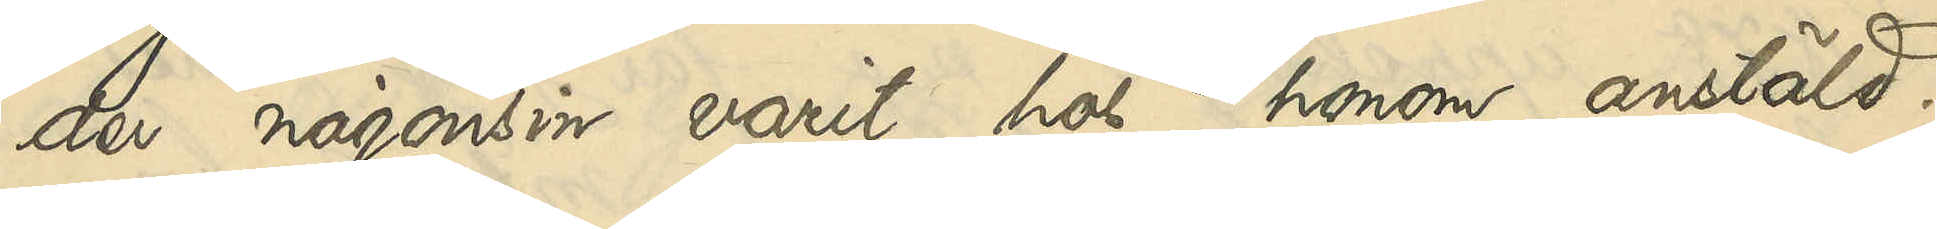der någonsin varit hos honom anstäld.
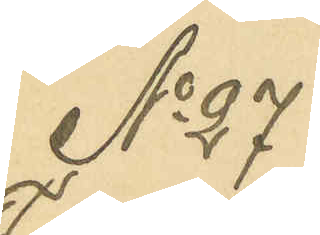No 27
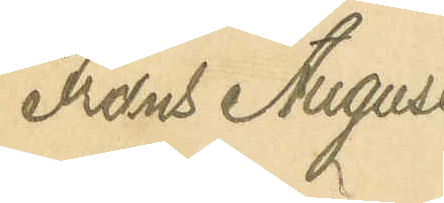Frans August
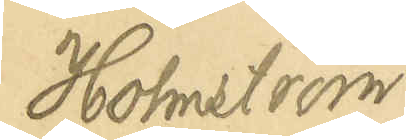Holmström
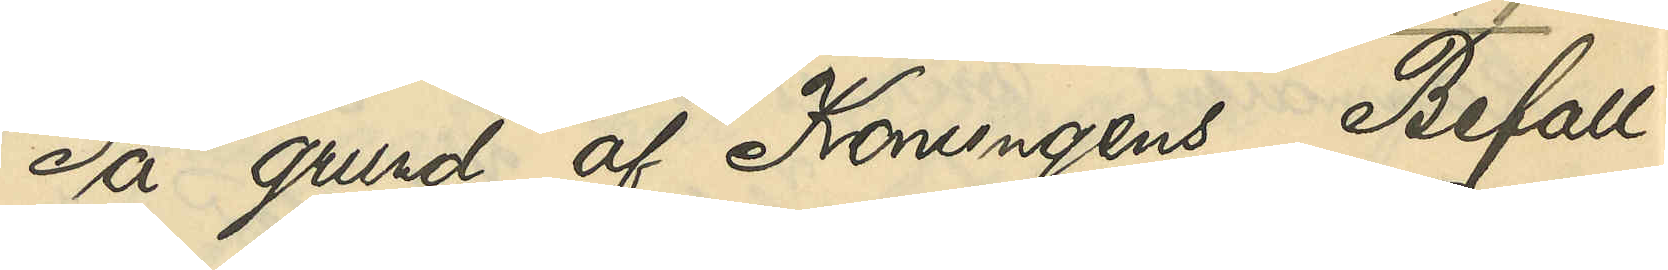På grund af Konungens Befall¬
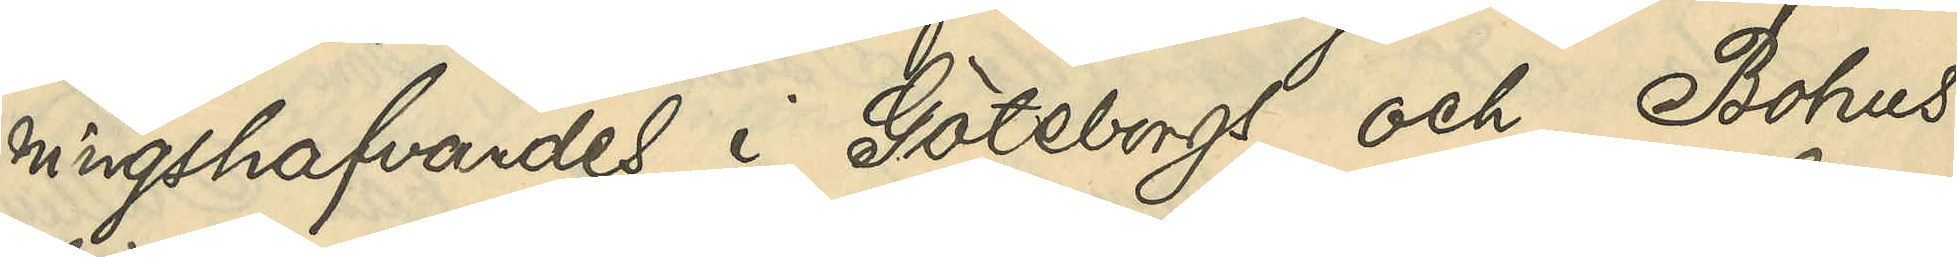ningshafvandes i Göteborgs och Bohus
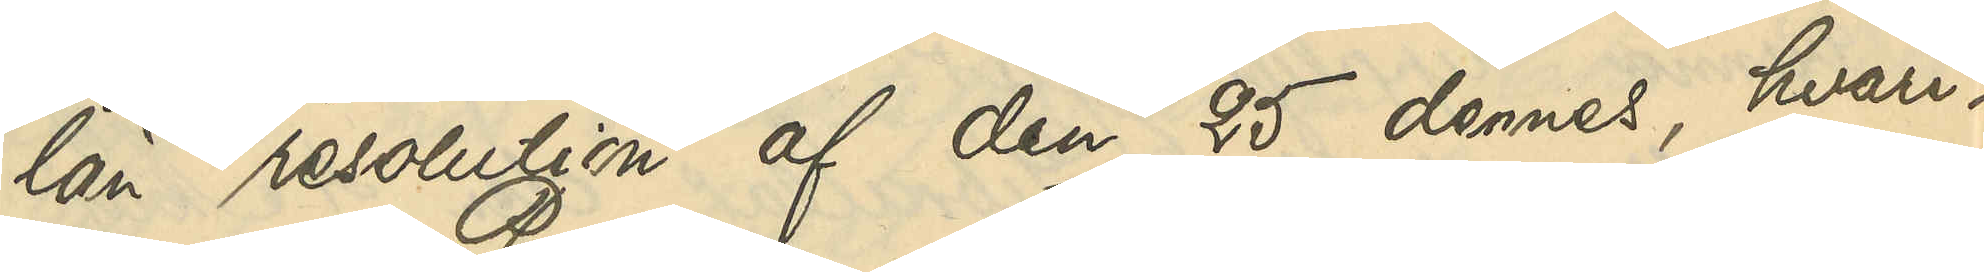län resolution af den 25 dennes, hvari¬
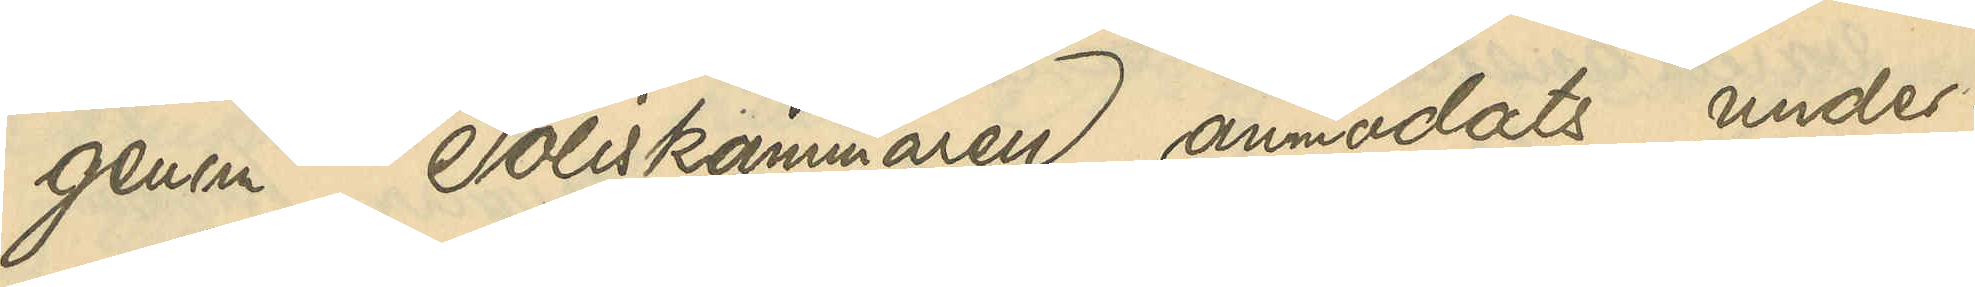genom Poliskammaren anmodats under¬
